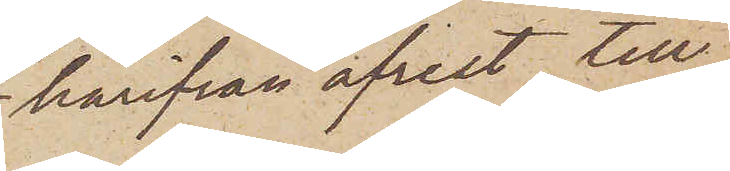härifrån afrest till¬
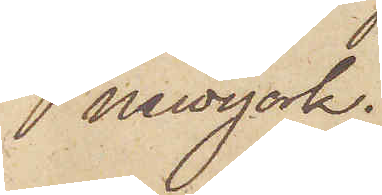Newyork.
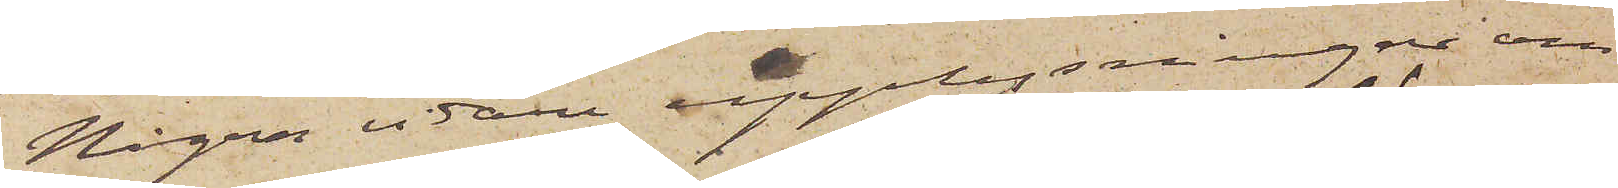Några vidare upplysningar om
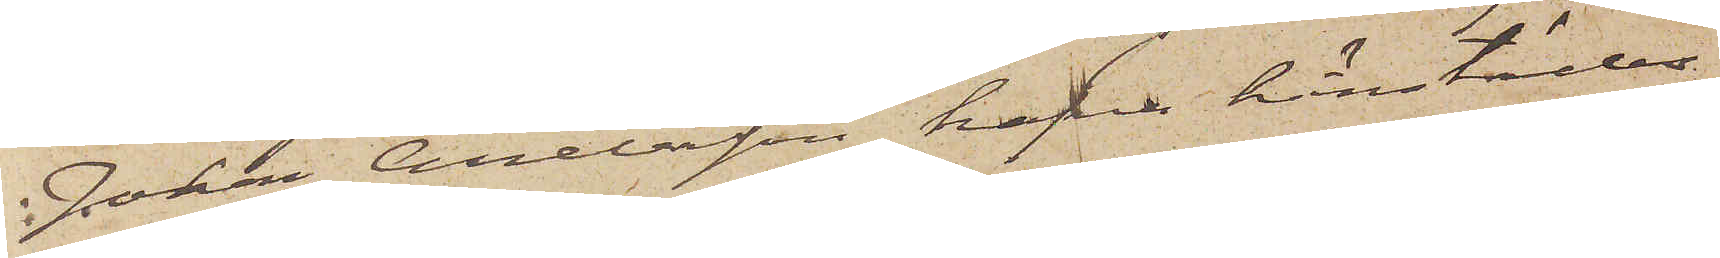Johan Andersson hafva härstädes
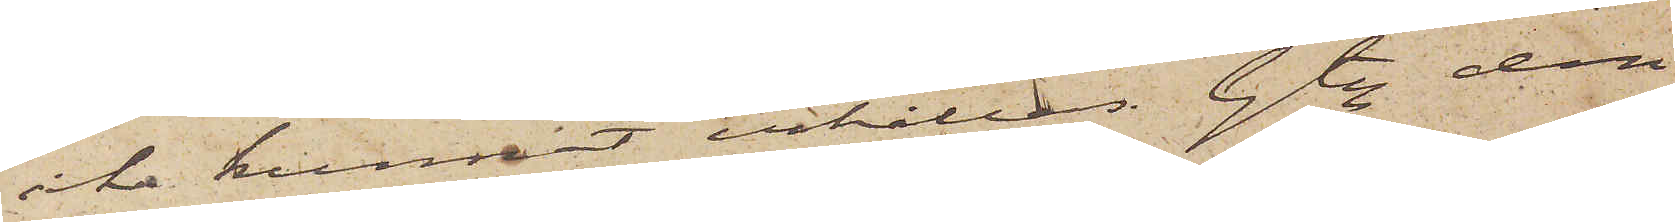icke kunnat erhållas. Gtbg den
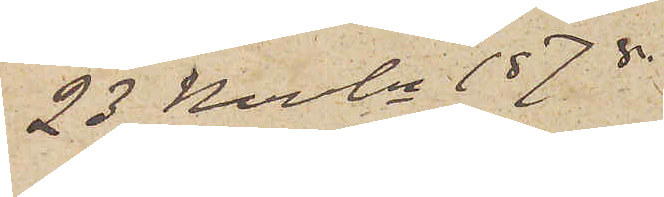23 Novbr 1878.
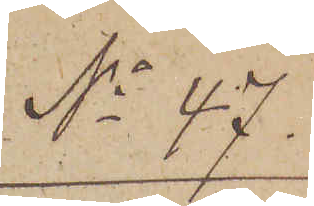No 47.
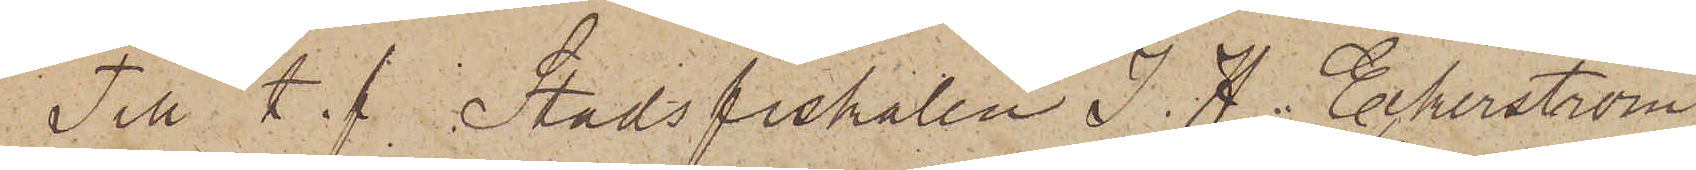Till. t. f. Stadsfiskalen J. H. Eckerström
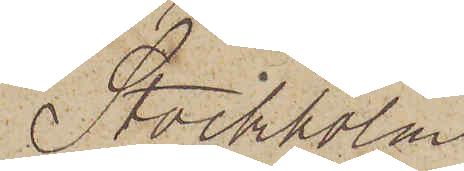Stockholm
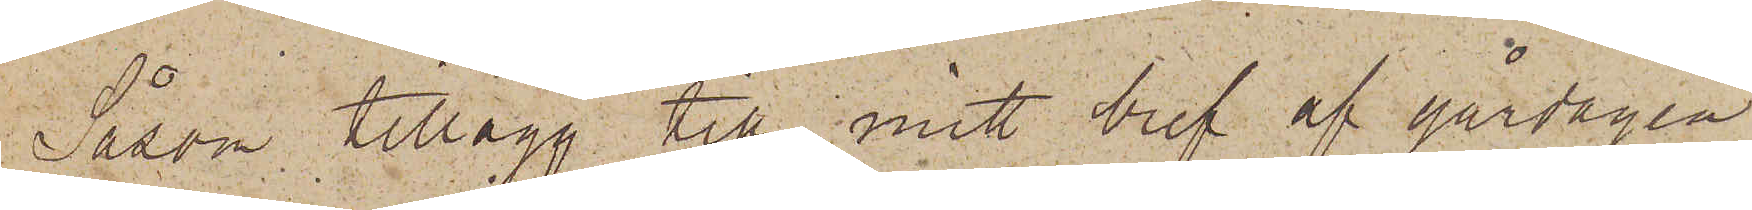Såsom tillägg till mitt bref af gårdagen
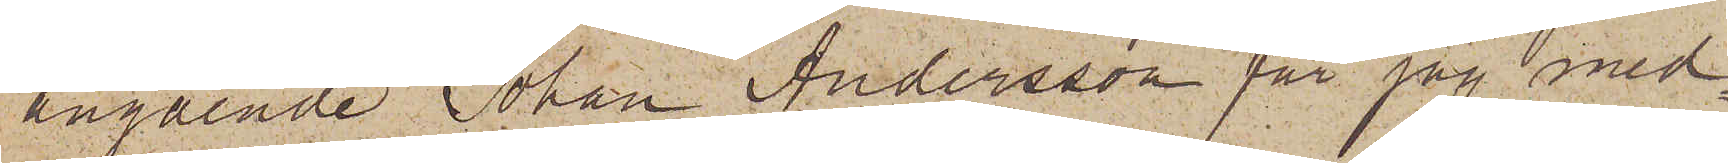angående Johan Andersson får jag med¬
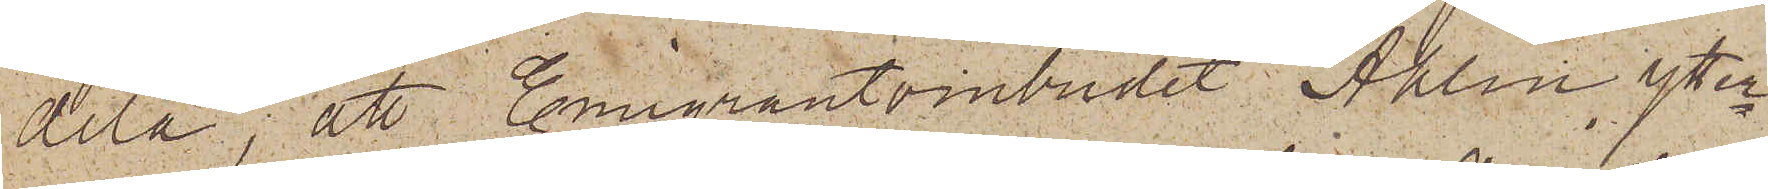dela, att Emigrantombudet Ahlin ytter¬
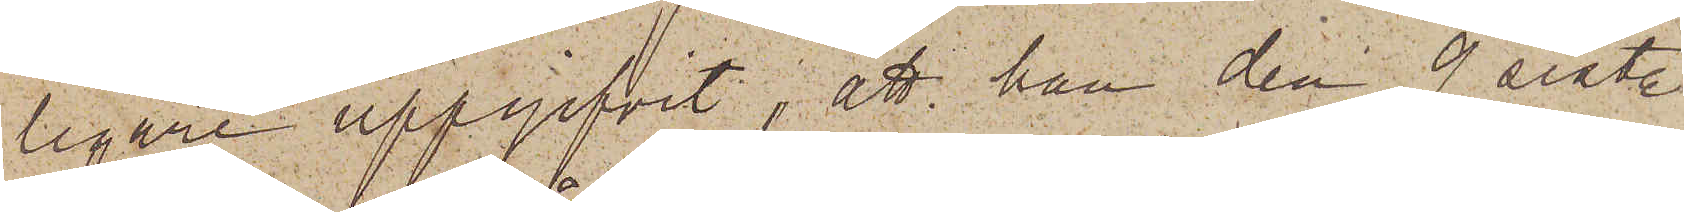ligare uppgifvit; att han den 9 sist.
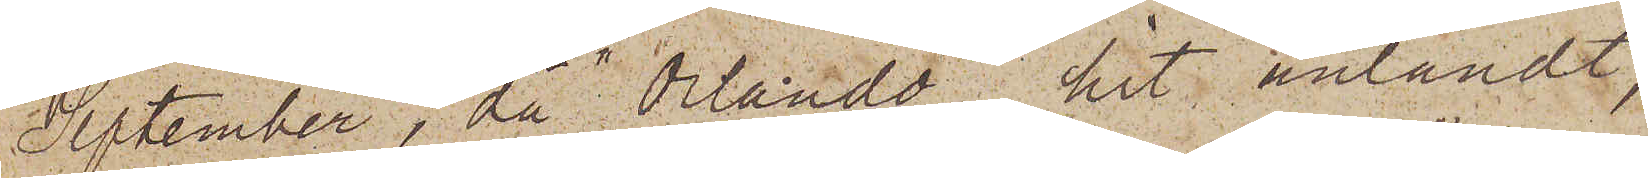September, då "Orlando" hit anländt,
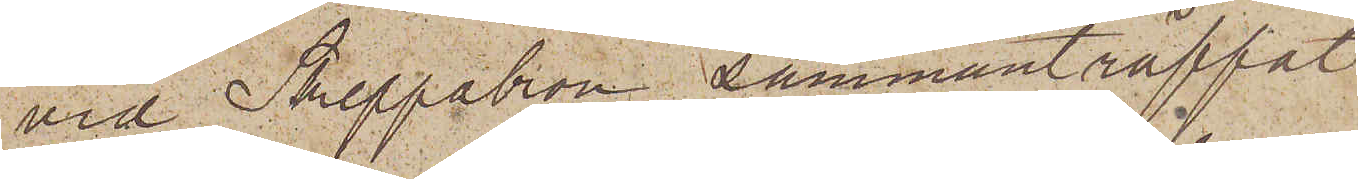vid Skeppsbron sammanträffat
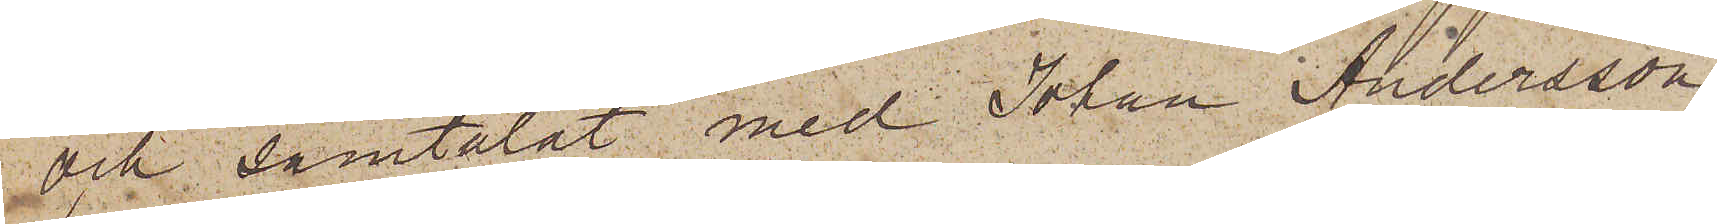och samtalat med Johan Andersson,
